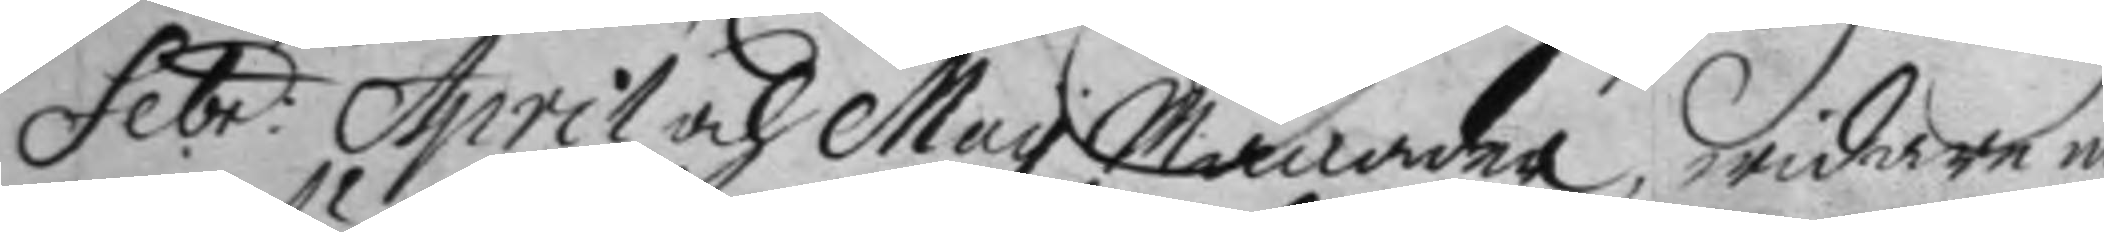Febr: April och may Månader, widare nu
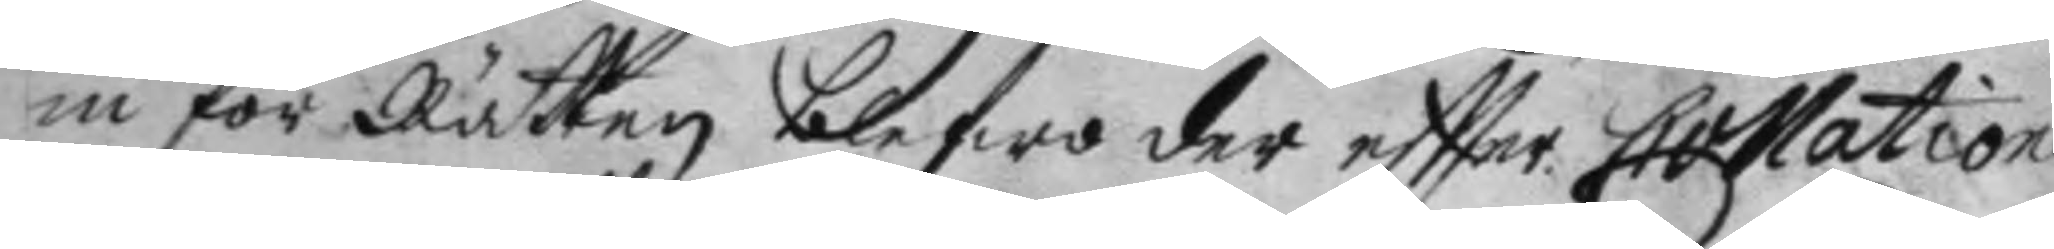in för Rätten blefwo der eftter Collatione¬
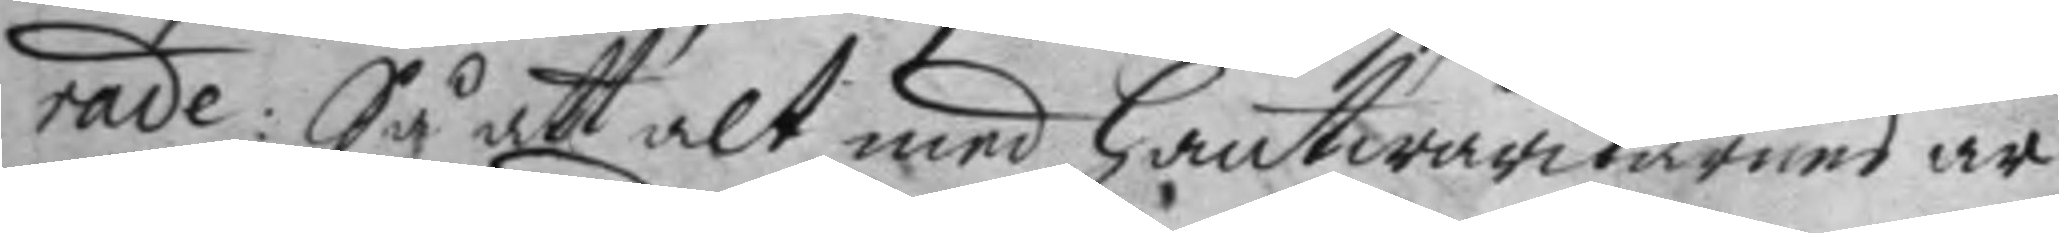rade: Så att alt med hantwärkarens ar¬
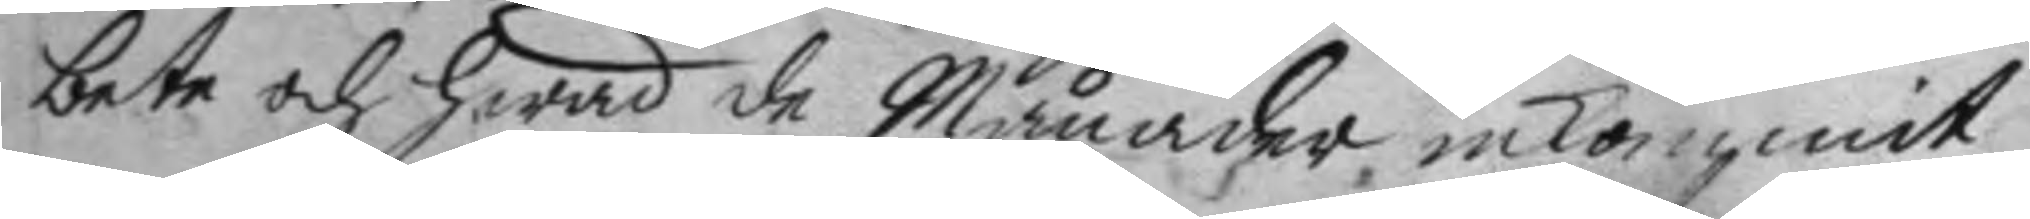bete och hwad de Månader inkommit
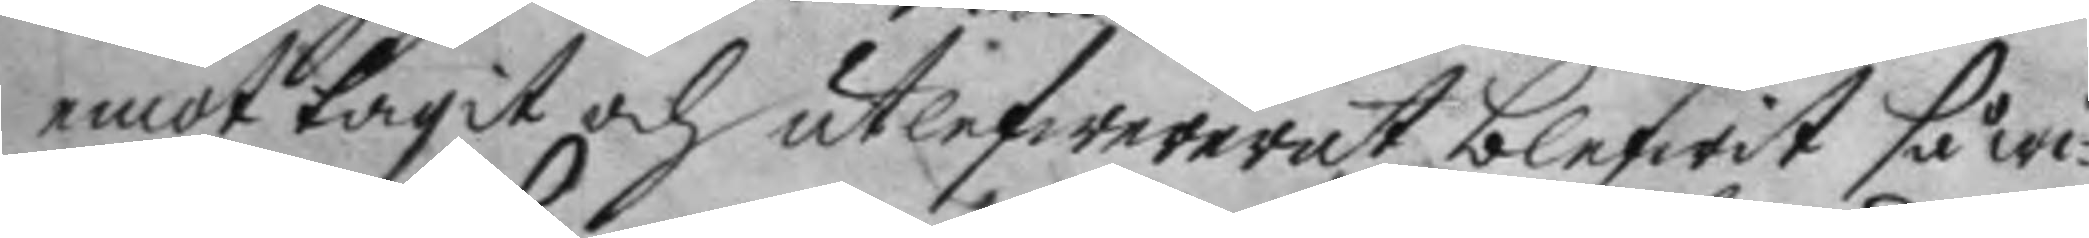emot tagit och utlefwererat blefwit så wi¬
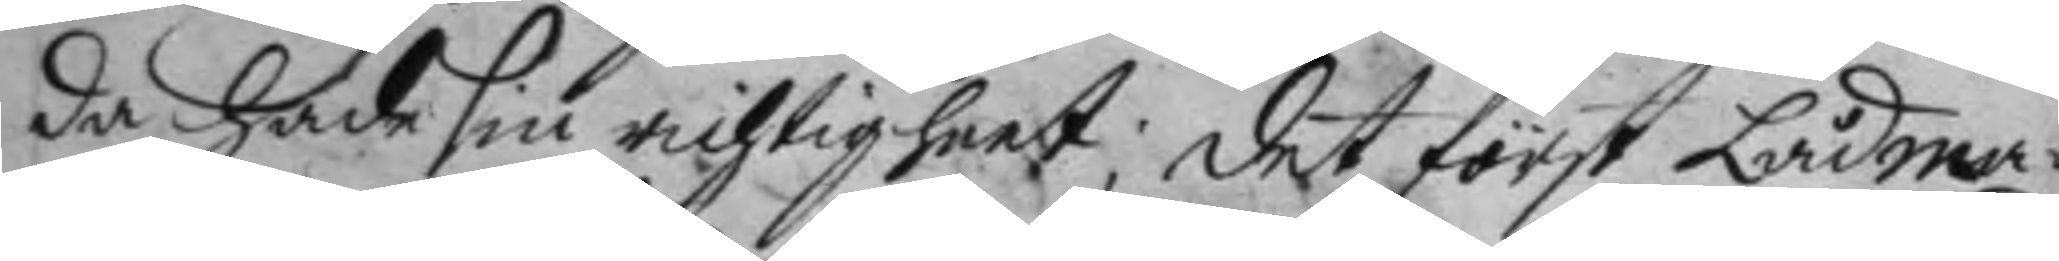da hade sin richtighhet; det först Lådma¬
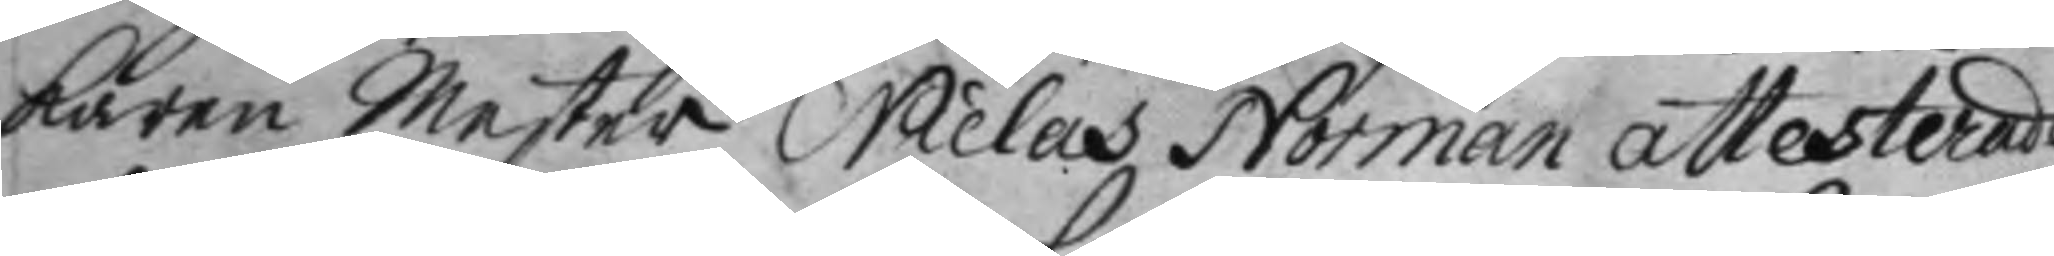karen mester Niclas Norman attesterade
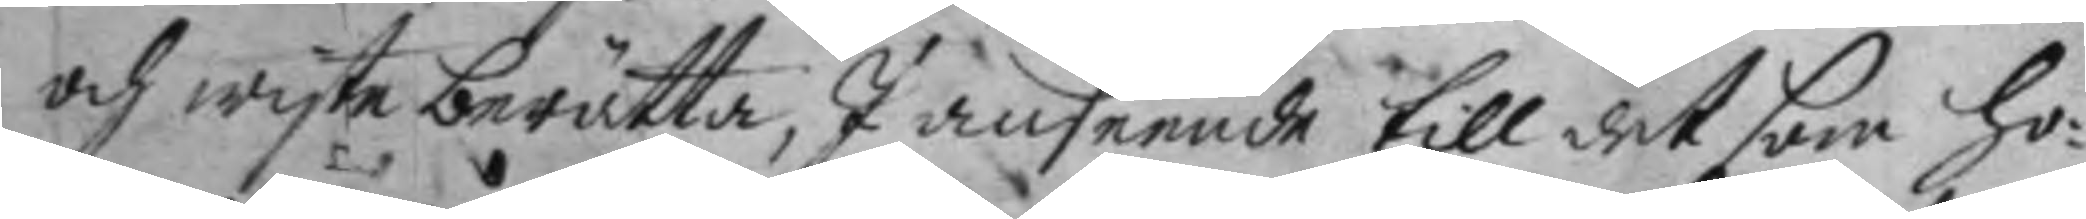och wyste berätta, I anseende till det som ho¬
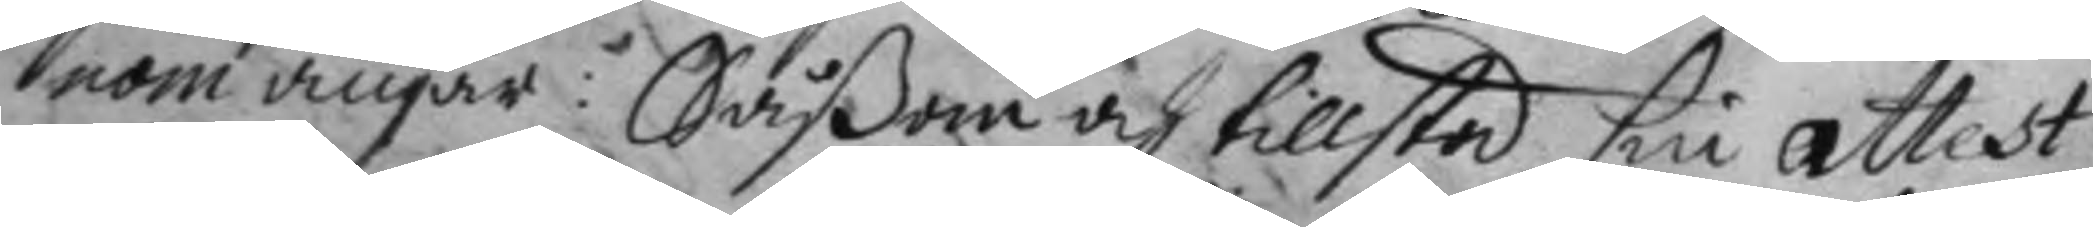nom angåe: Såßom och tillstod sin attest
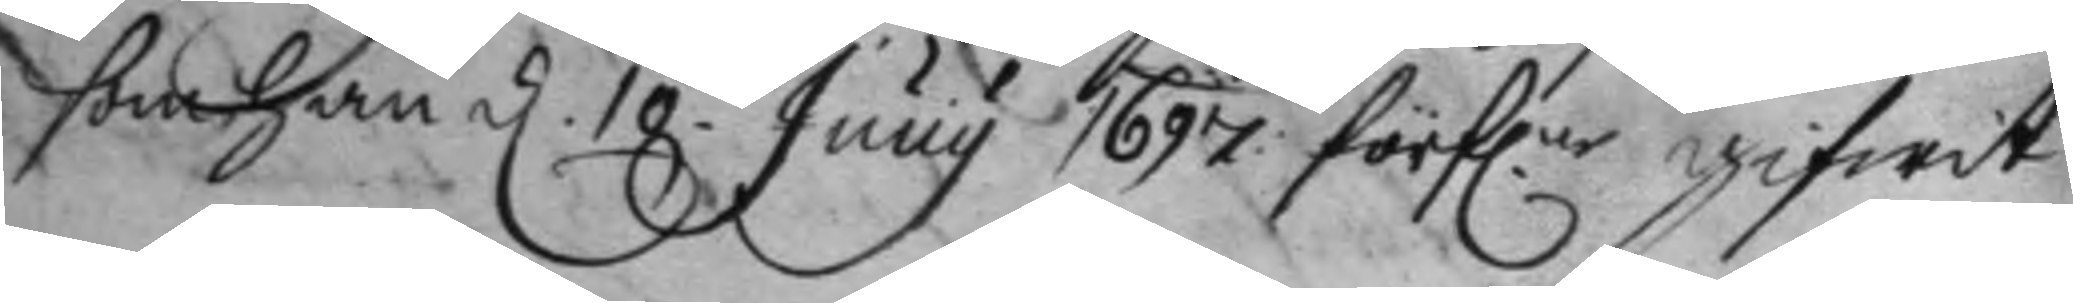som han d. 10 Juny 1697 förfl.ne gifwit
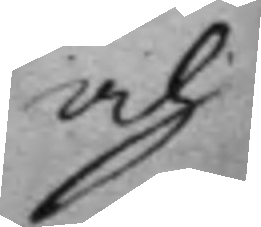och
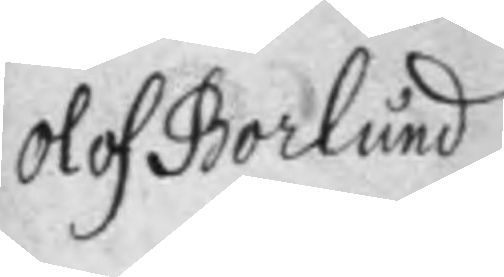Olof Borlund
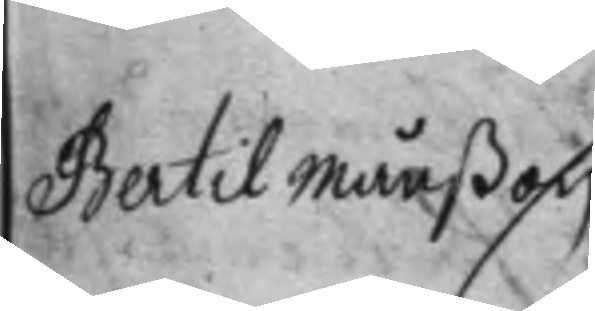Bertil Månßon
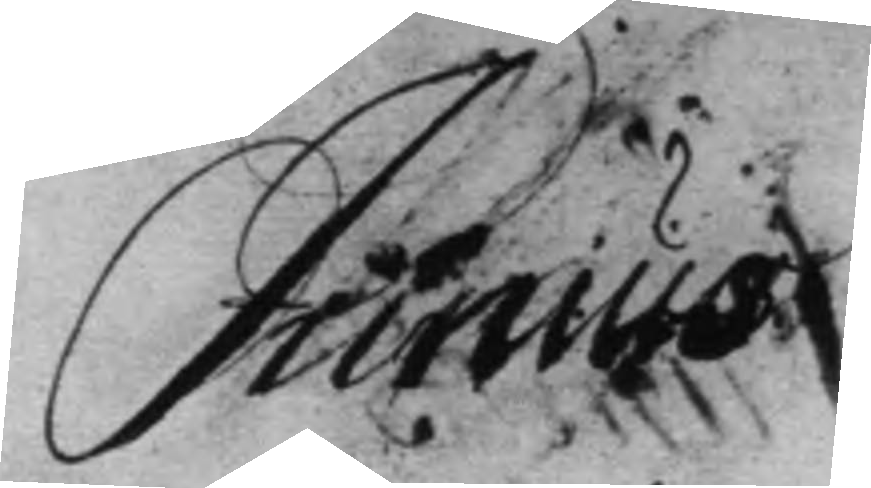Junius
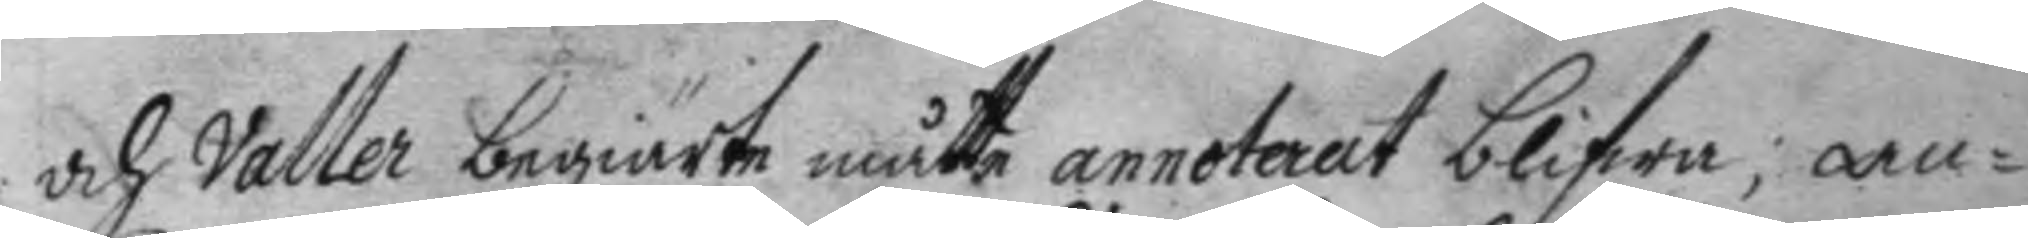och Valler begiärte måtte annoterat blifwa, an¬
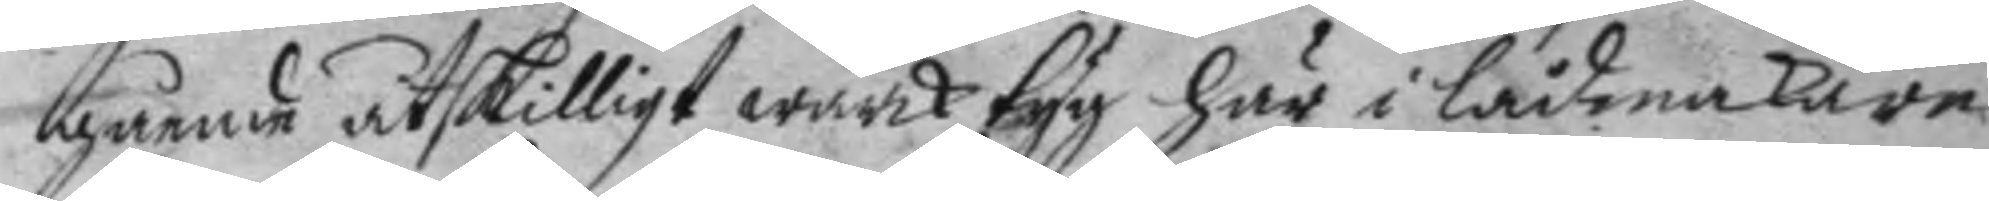gående åtskilligt wärktyg här i lådmakare
